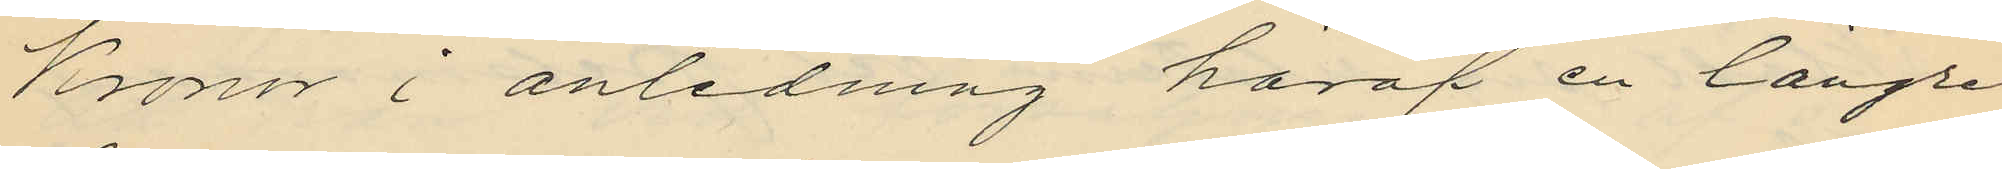Kronor i anledning häraf en längre
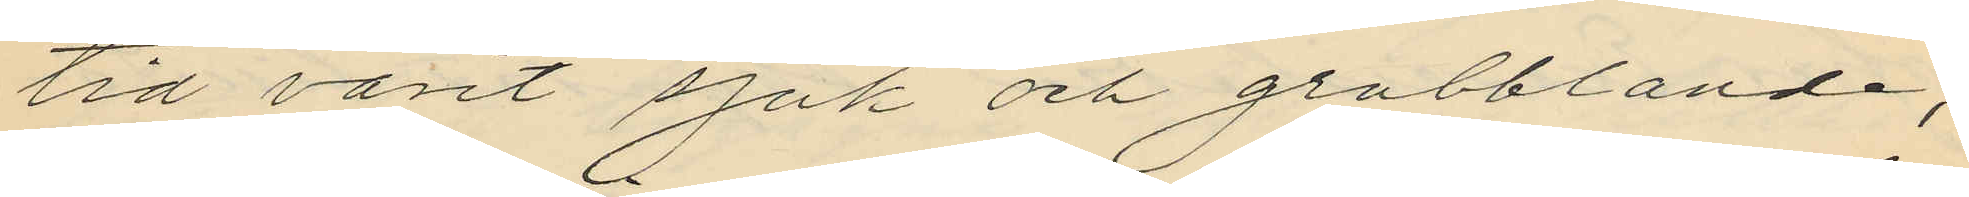tid varit sjuk och grubblande;
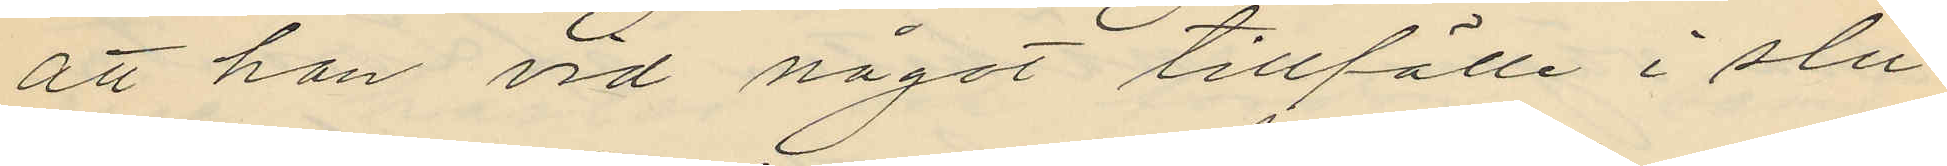att han vid något tillfälle i slu¬
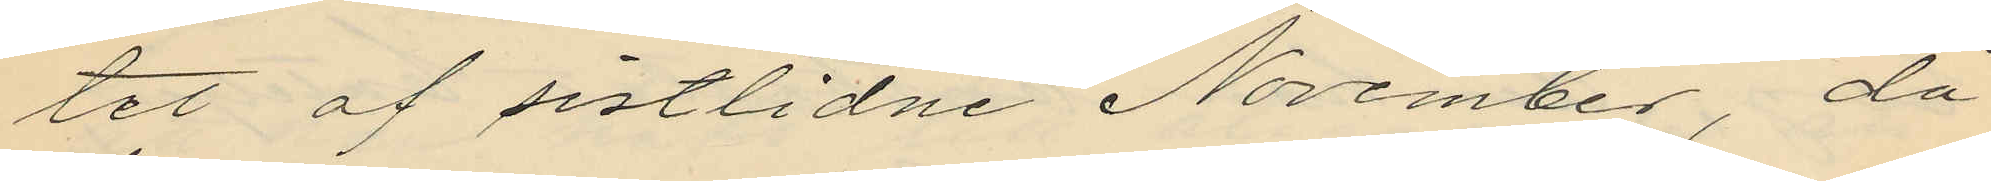tet af sistlidne November, då
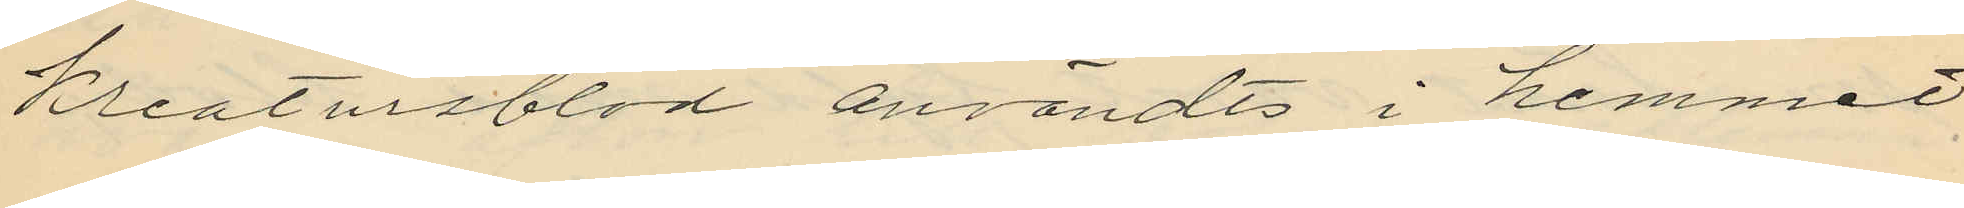kreatursblod användts i hemmet
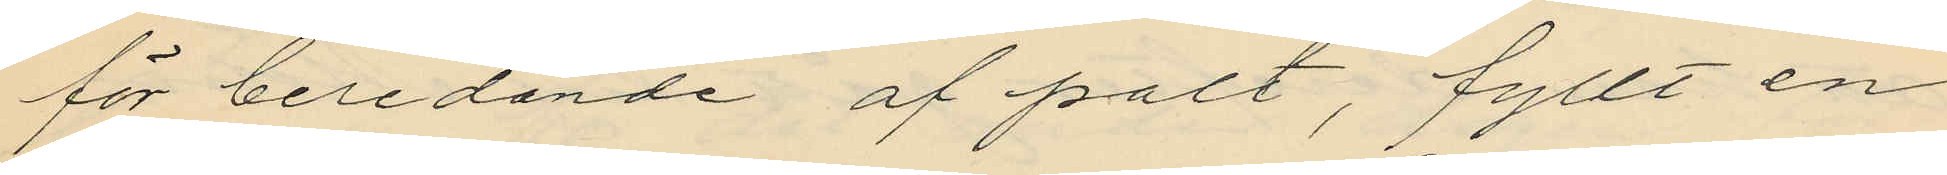för beredande af palt, fyllt en
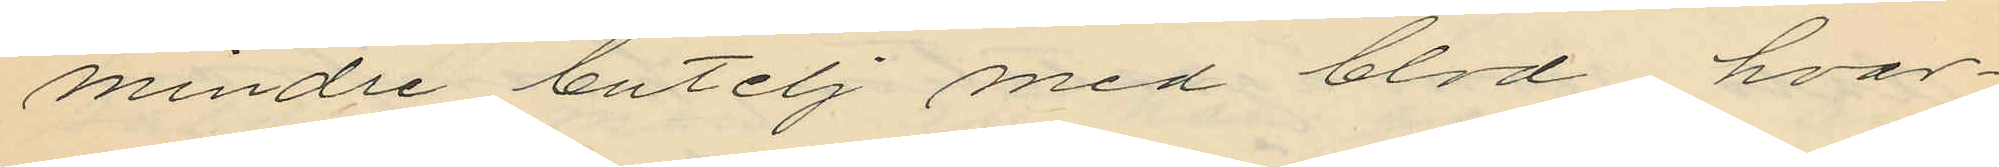mindre butelj med blod hvar¬
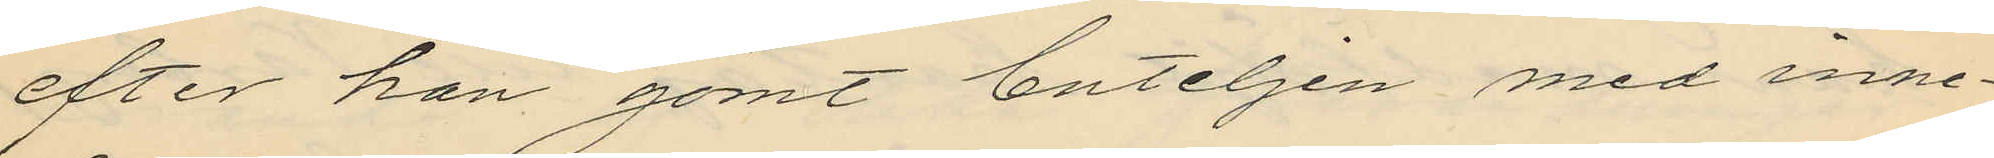efter han gömt buteljen med inne¬
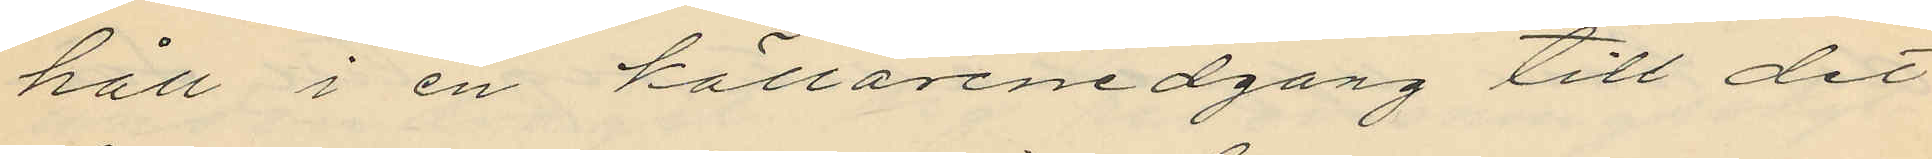håll i en källarenedgång till det
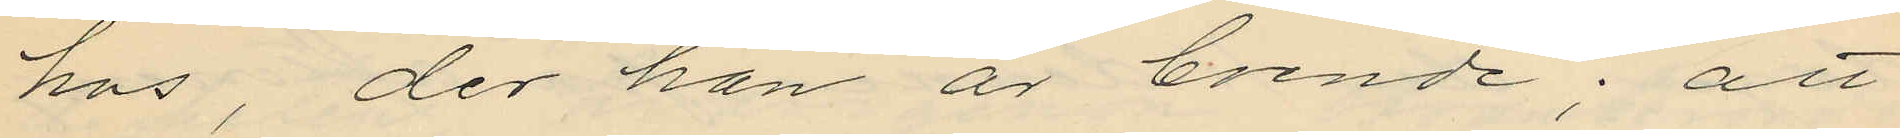hus, der han är boende; att
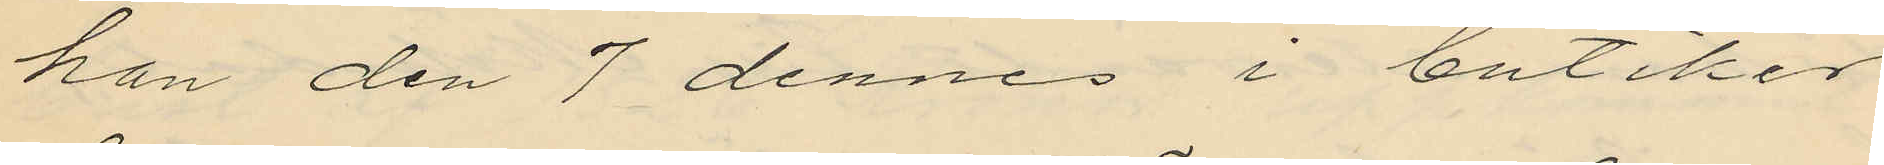han den 7 dennes i butiker
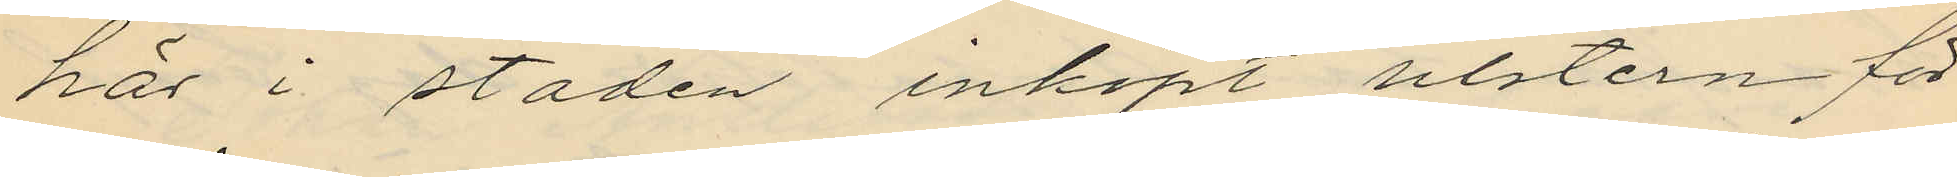här i staden inköpt ulstern för
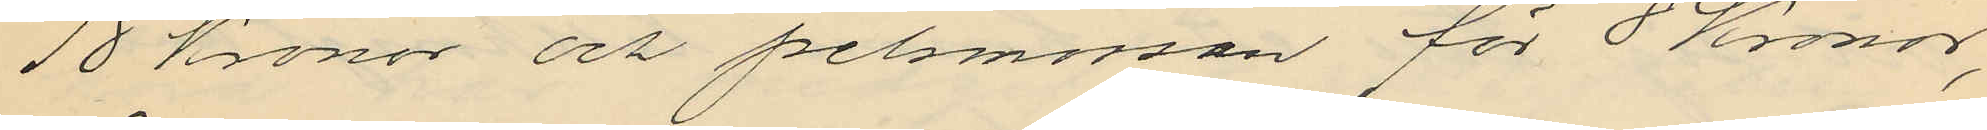18 Kronor och pelsmössan för 8 Kronor,
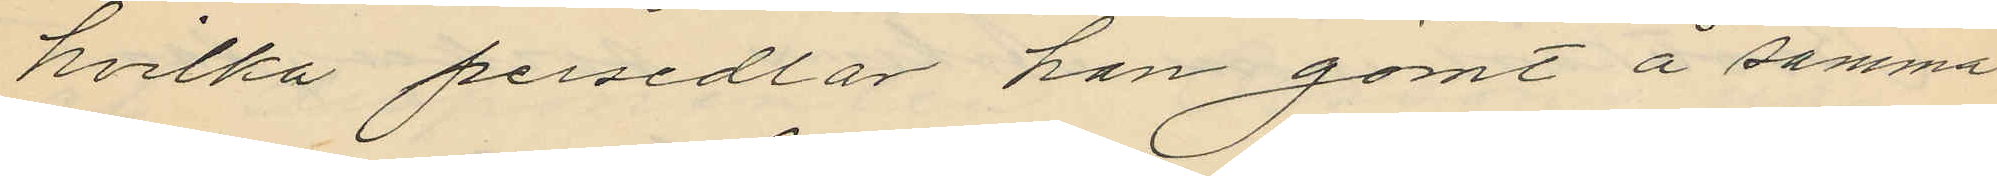hvilka persedlar han gömt å samma
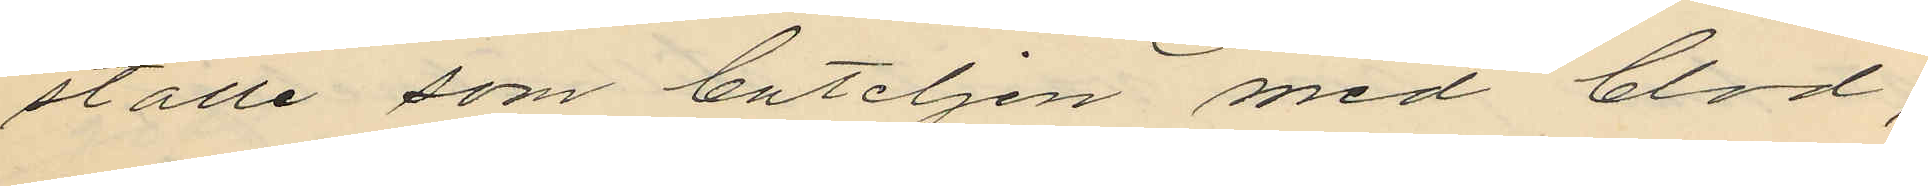ställe som buteljen med blod;
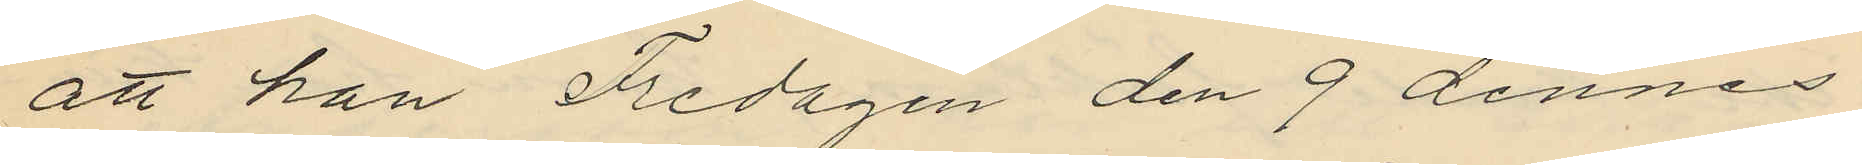att han Fredagen den 9 dennes
